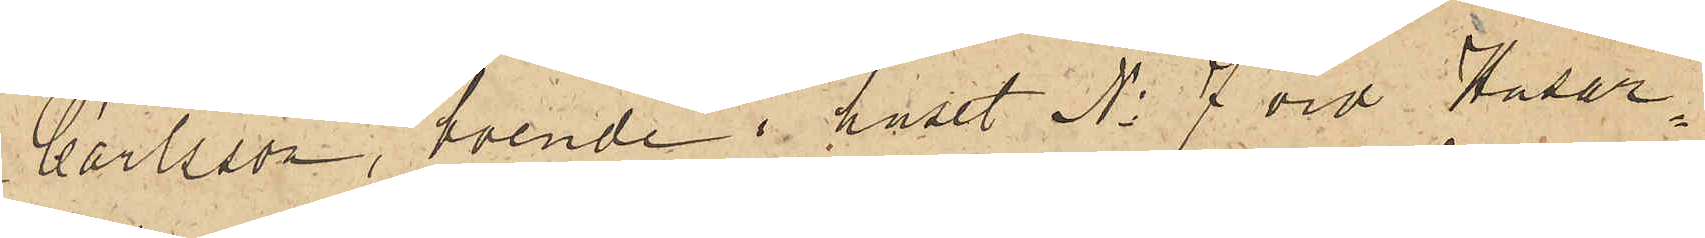Carlsson, boende i huset No 7 vid Husar¬
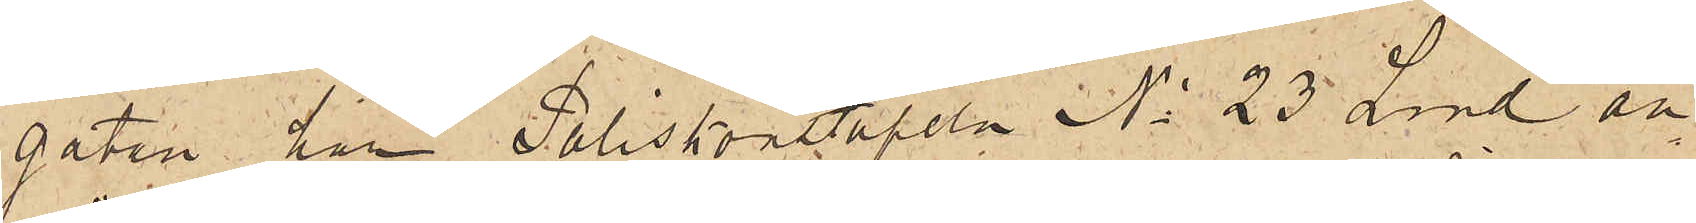gatan har Poliskonstapeln No 23 Lind an¬
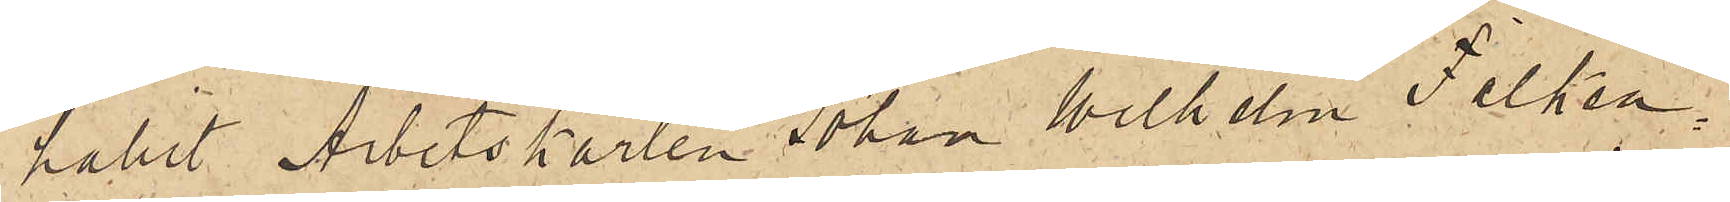hållit Arbetskarlen Johan Wilhelm Falken¬
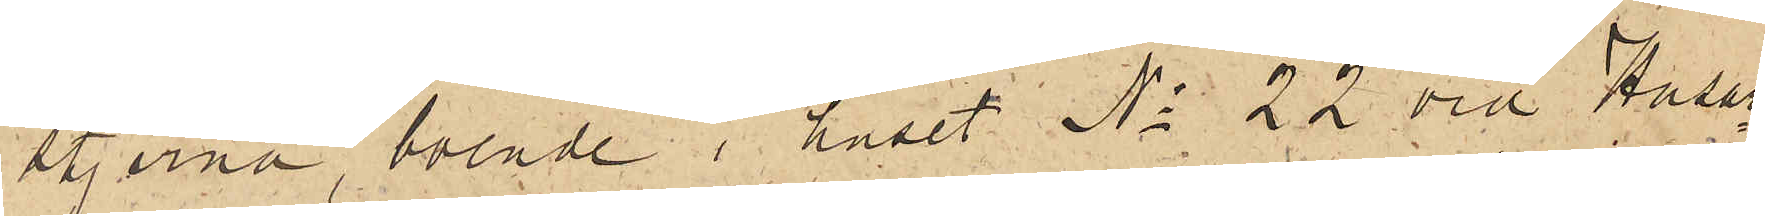stjerna, boende i huset No 22 vid Husar¬
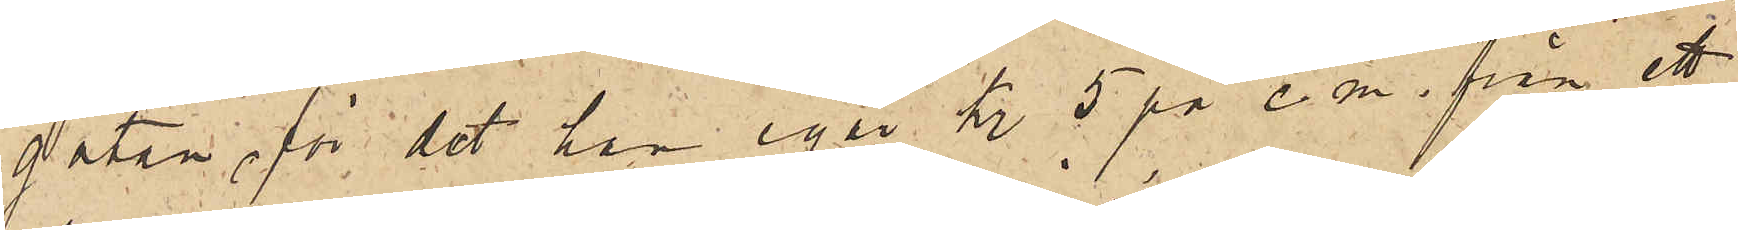gatan, för det han igår kl 5 på e. m. från ett
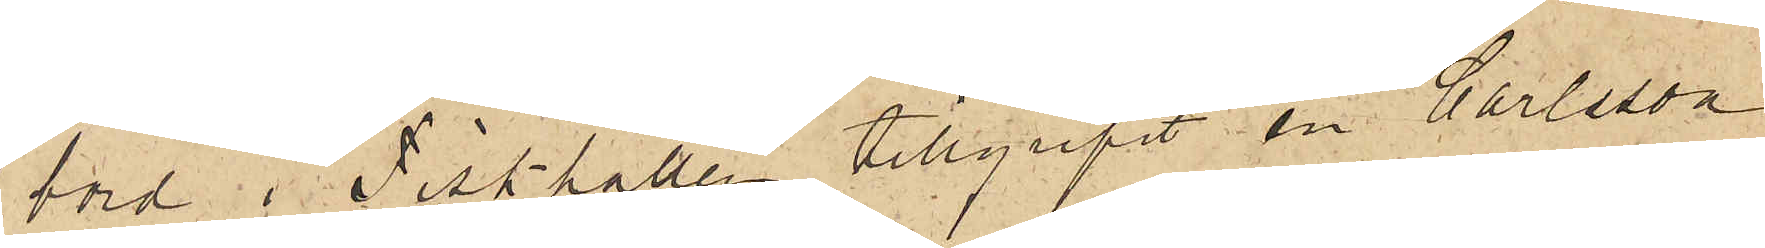bord i Fiskhallen tillgripit en Carlsson
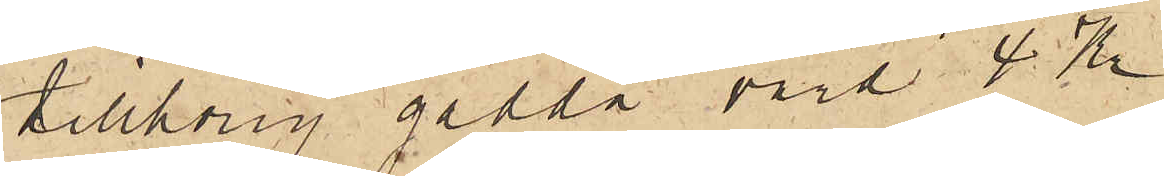tillhörig gädda värd 4 Kr.
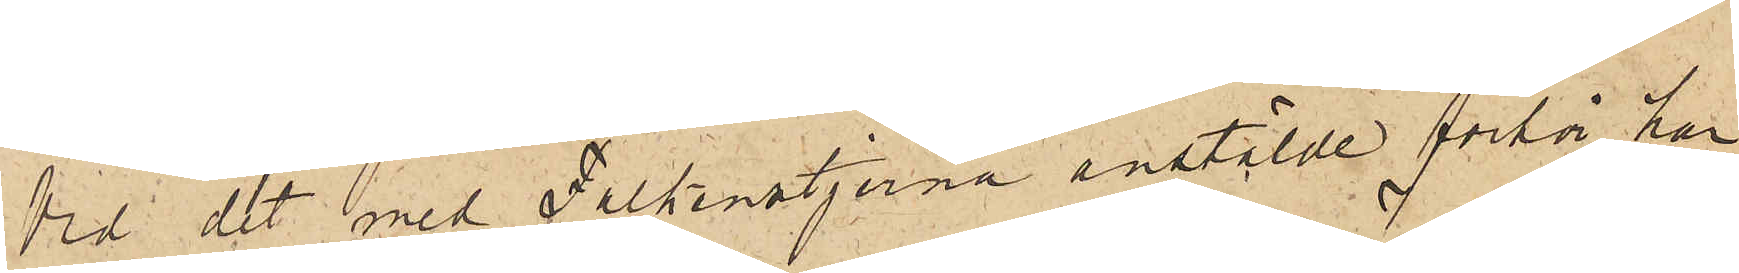Vid det med Falkenstjerna anstälde förhör har
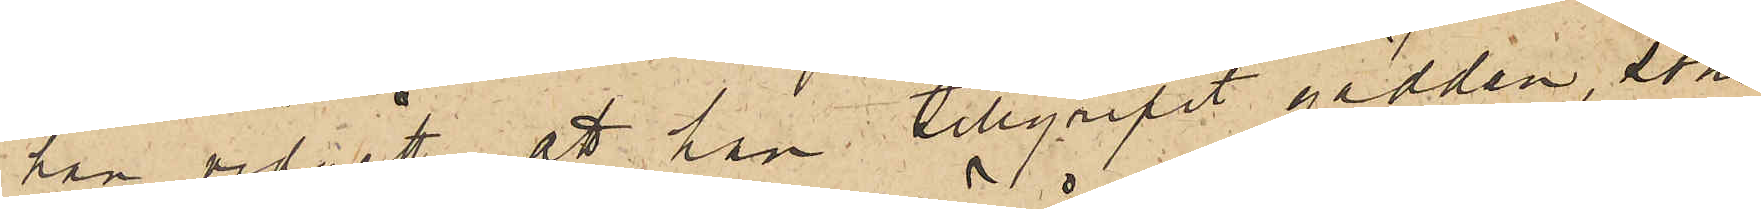han vidgått, att han tillgripit gäddan, som
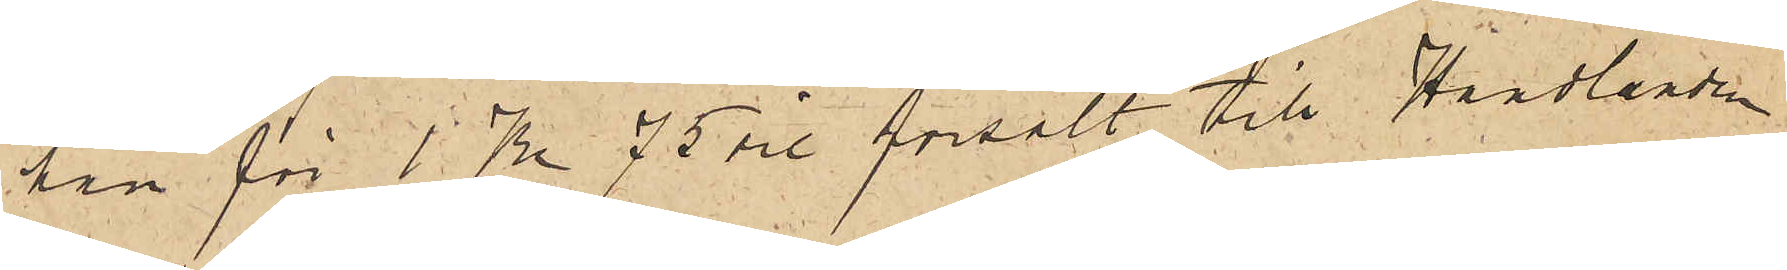han för 1 Kr 75 öre försålt till Handlanden
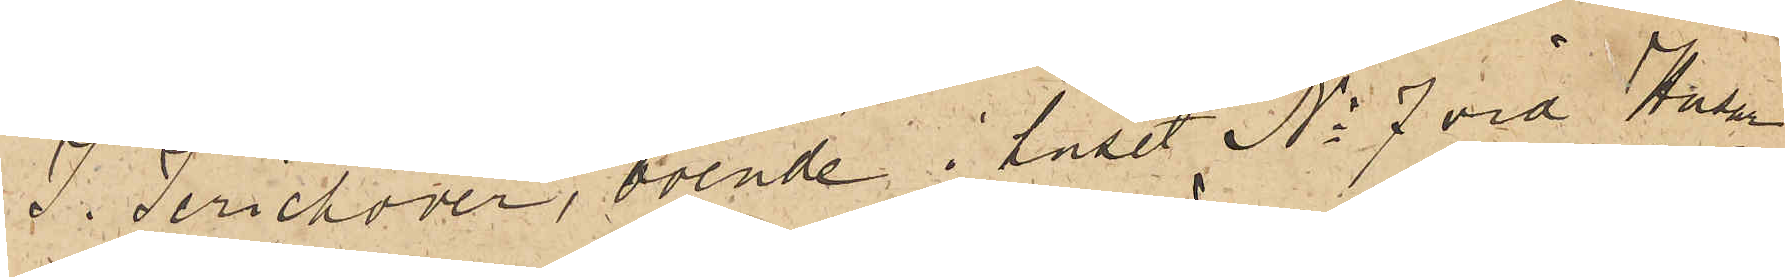J. Jerichover, boende i huset No 7 vid Husar¬
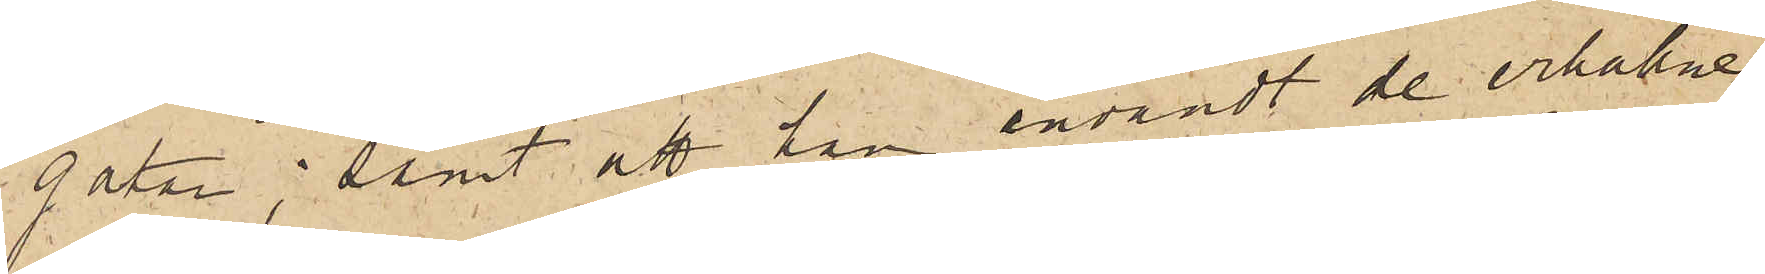gatan; samt att han användt de erhållne
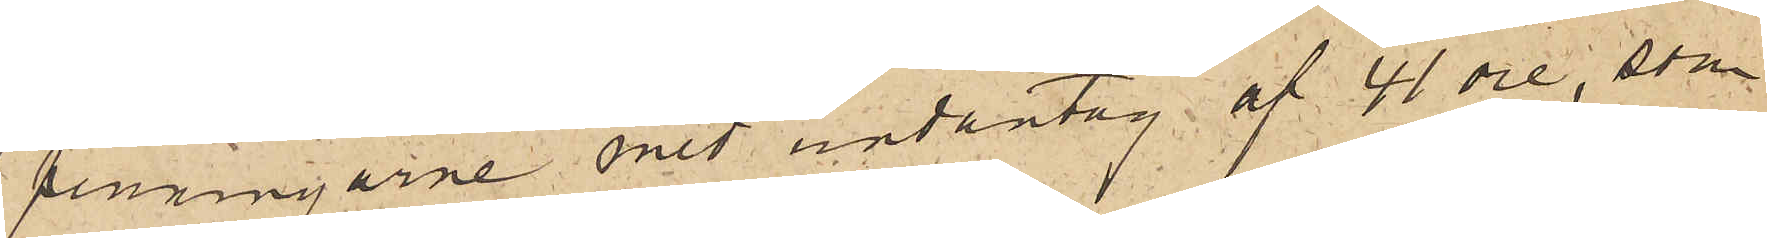penningarne med undantag af 41 öre, som
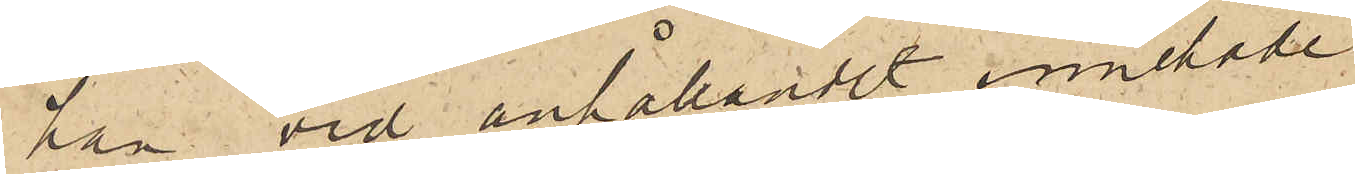han vid anhållandet innehade.
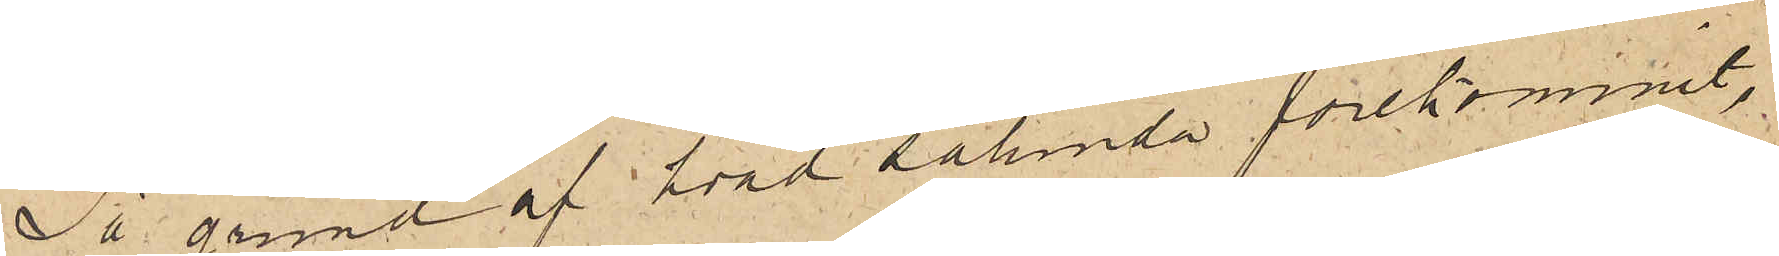På grund af hvad sålunda förekommit,
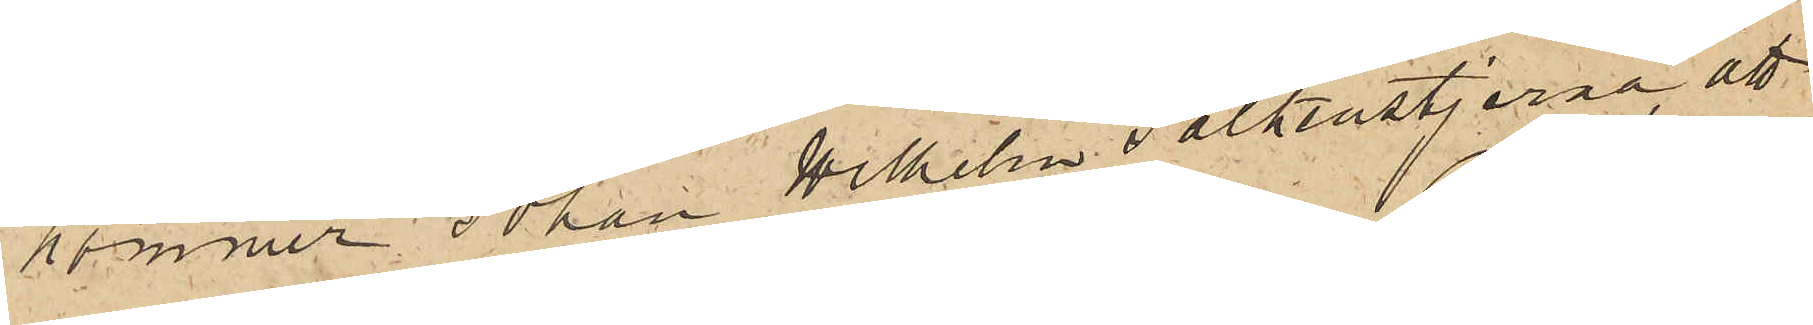kommer Johan Wilhelm Falkenstjerna att
